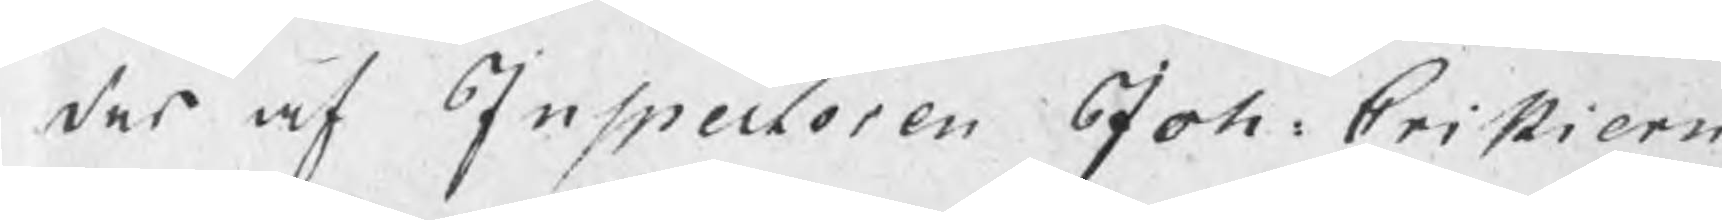des af Inspectoren Joh: Cristiern
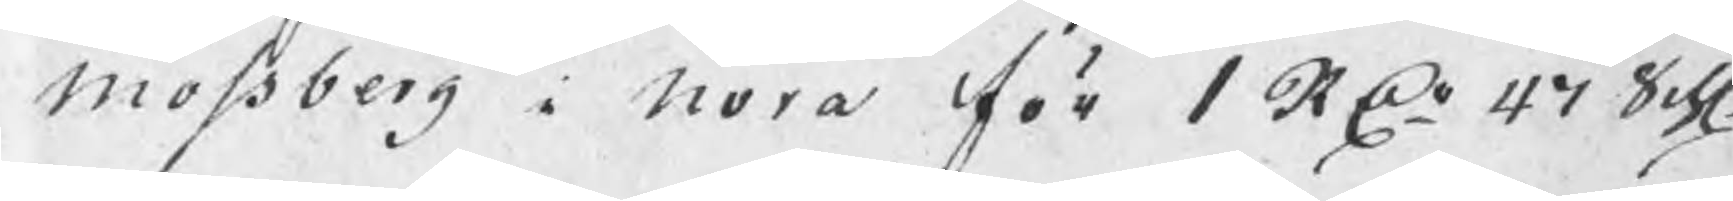Mossberg i Nora för 1 RDr 47 Sch:
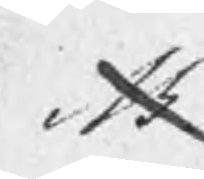Sk
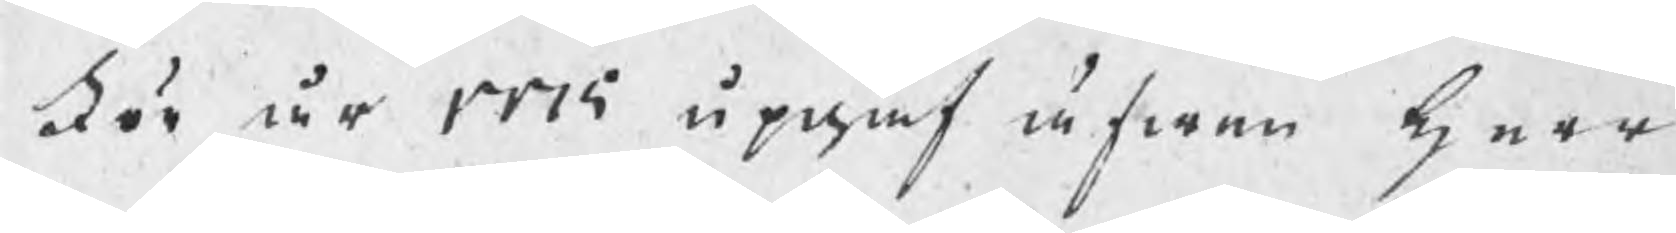För år 1715 upgaf äfwen Herr
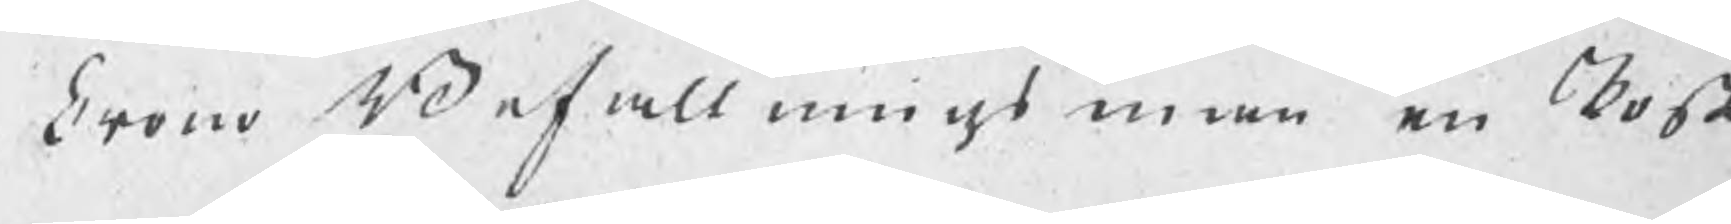Crono Befallningsman en Kost
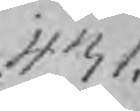431.
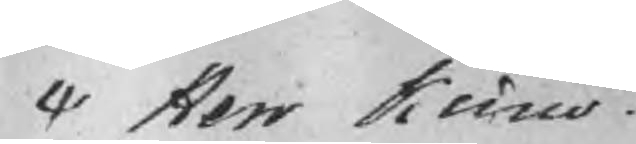Herr Krono¬
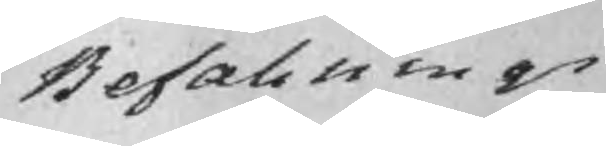Befallnings¬
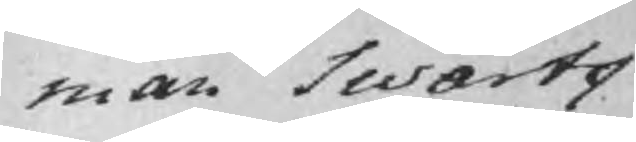man Swartz
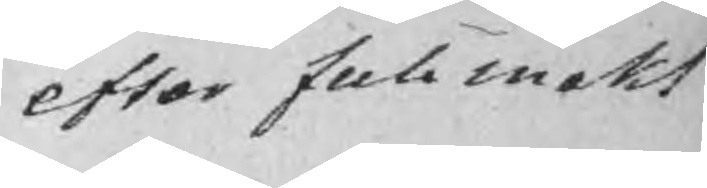efter fullmakt
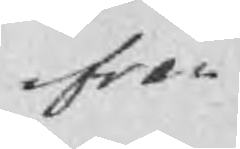fran
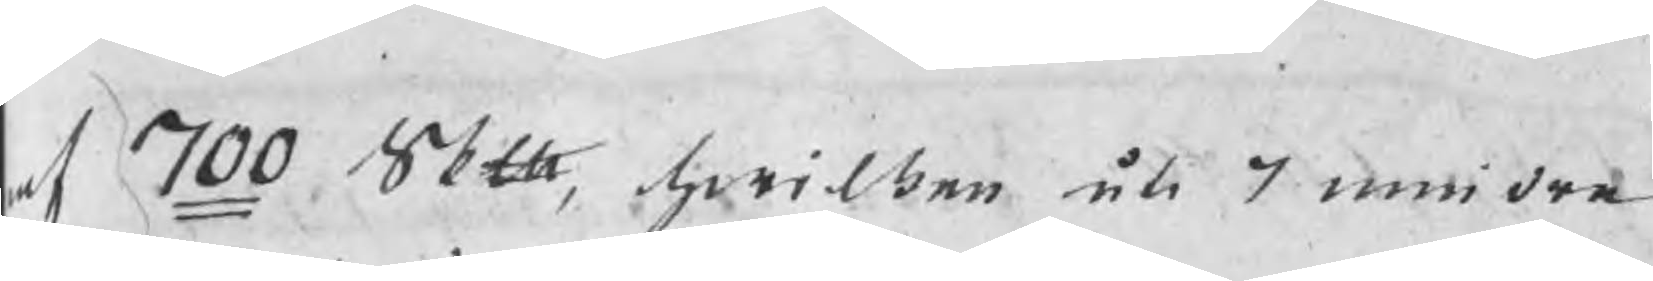af 700 Skth, hwilken uti 7 mindre
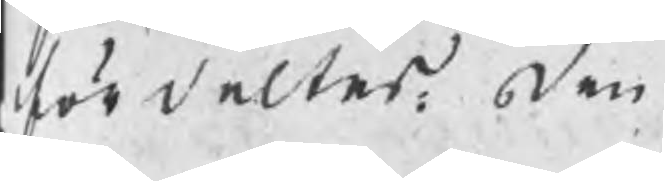fördeltes, den
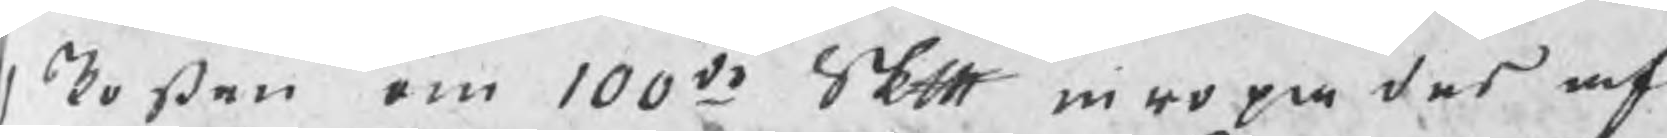1 Posten om 100de Skth inropades af
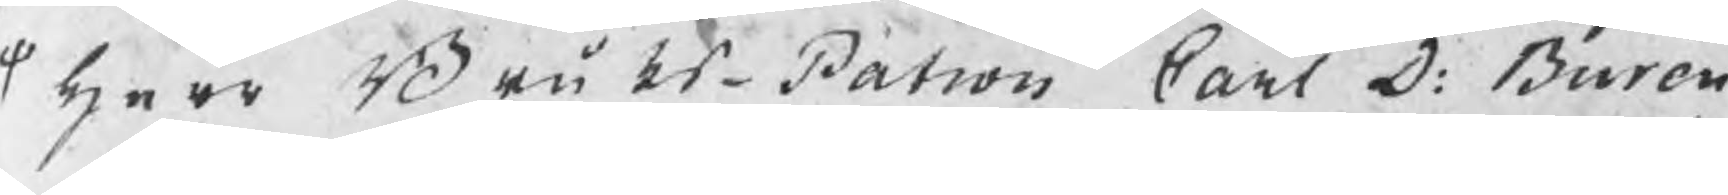herr BruksPatron Carl D: Burén
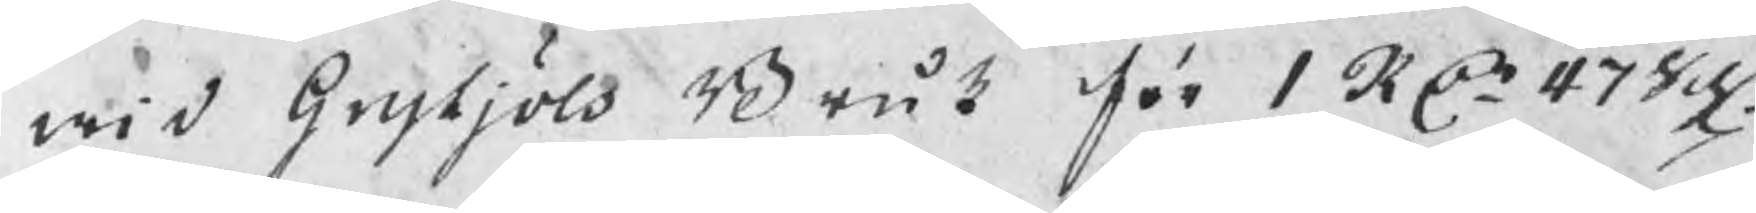wid Grytjöls Bruk för 1 RDr 47 Sch:
